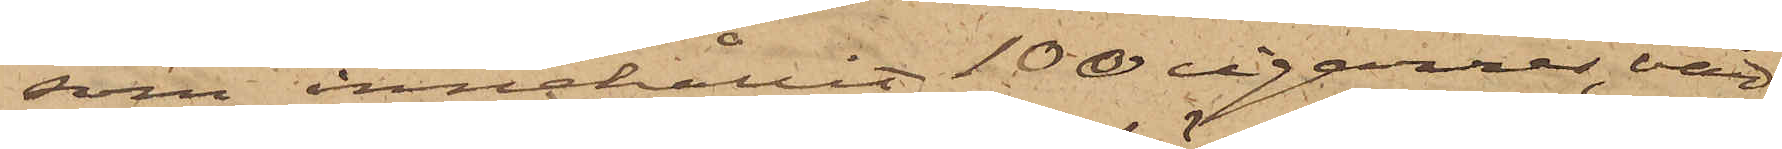som innehållit 100 cigarrer, vär¬
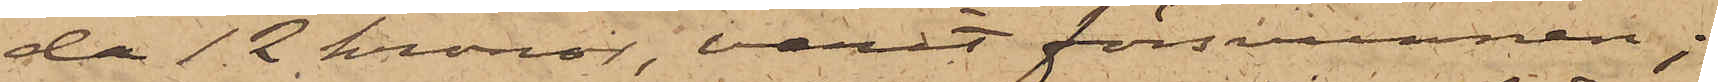da 12 kronor varit försvunnen;
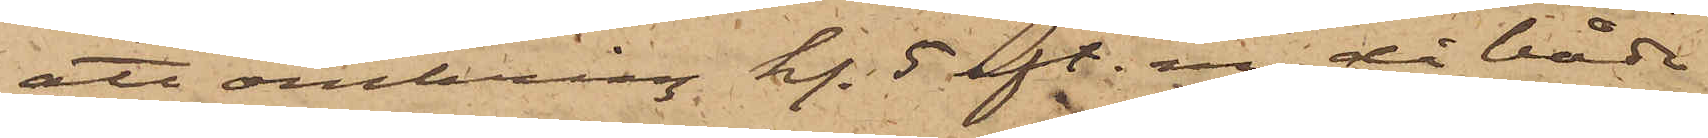att omkring kl. 5 eft. m., då både
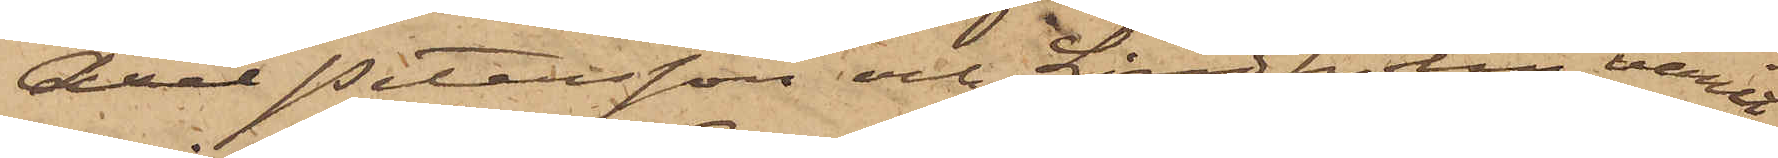Axel Petersson och Lindholm varit
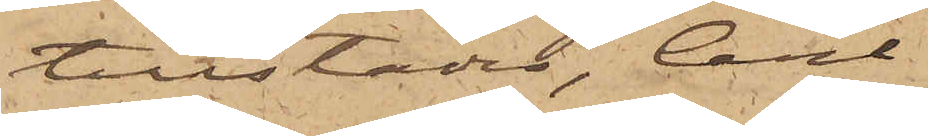tillstädes, Carl
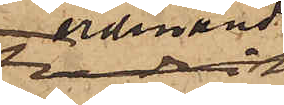Ferdinand
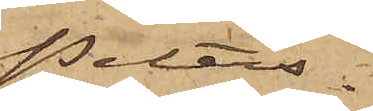Peters¬
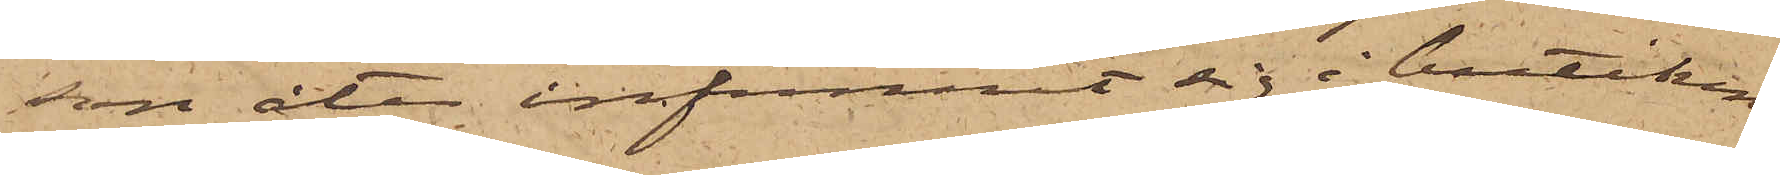son åter infunnit sig i butiken
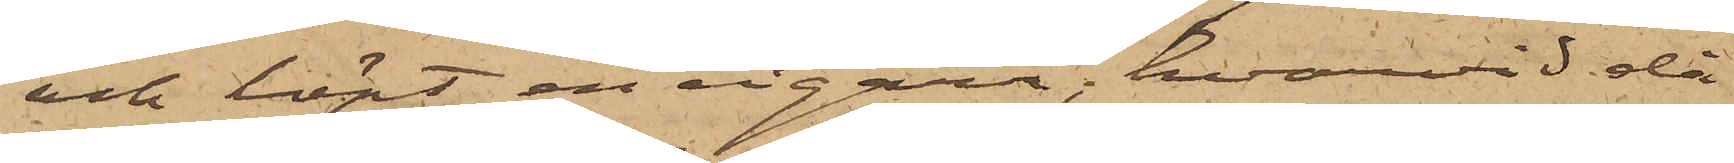och köpt en cigarr; hvarvid då
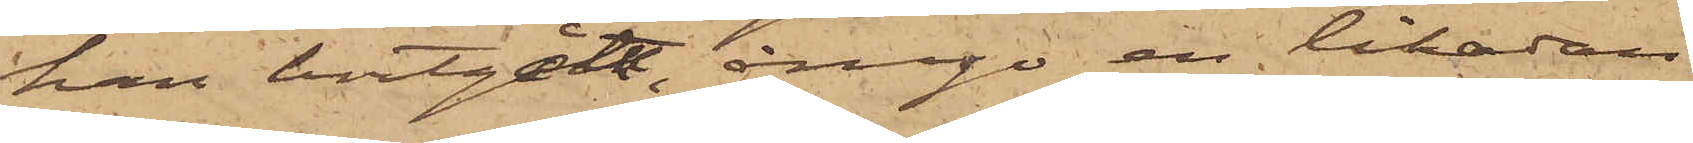han bortgått, ånyo en likadan
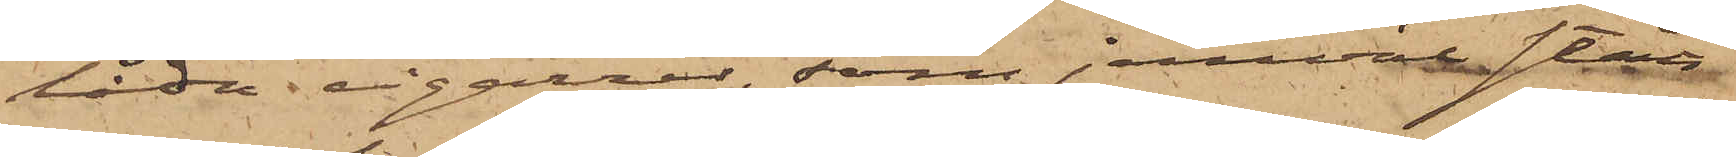låda cigarrer, som jemväl stått
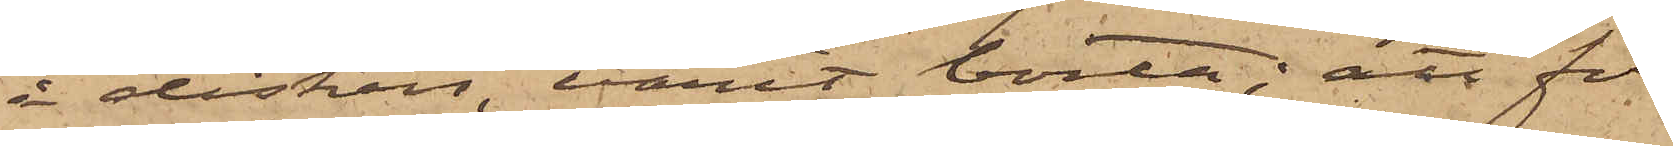å disken varit borta; att för
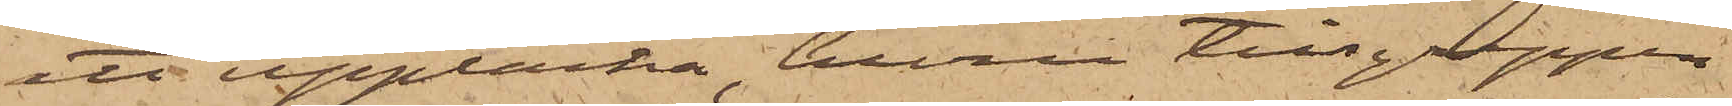att upptäcka huru tillgreppen
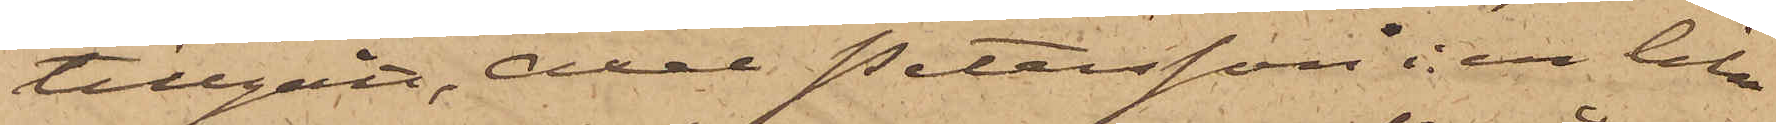tillgått, Axel Petersson i en lika
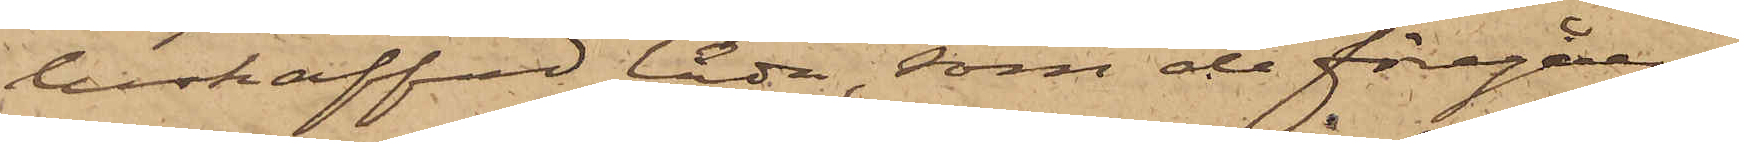beskaffad låda, som de föregåen¬
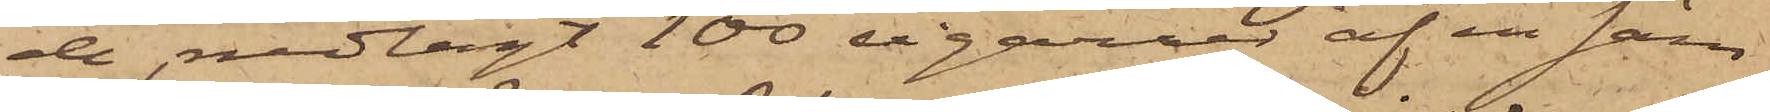de, nedlagt 100 cigarrer af en säm¬
